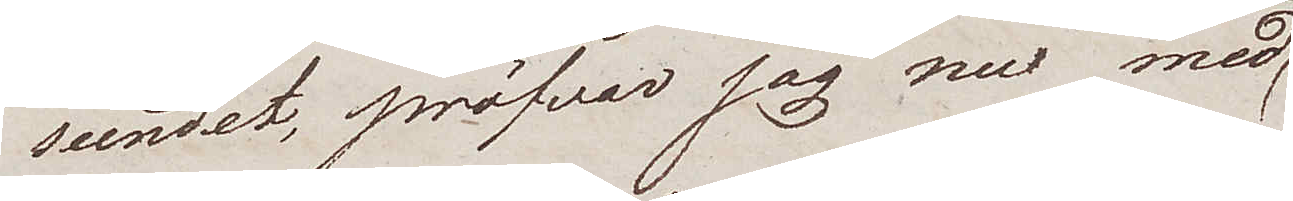seendet, pröfvar jag nu med
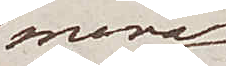mera
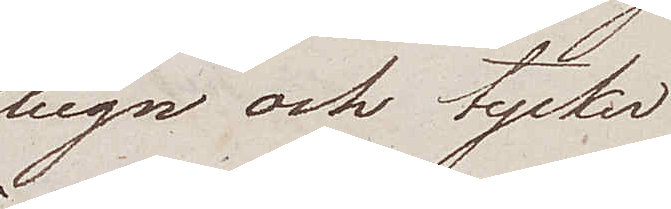lugn och tycker
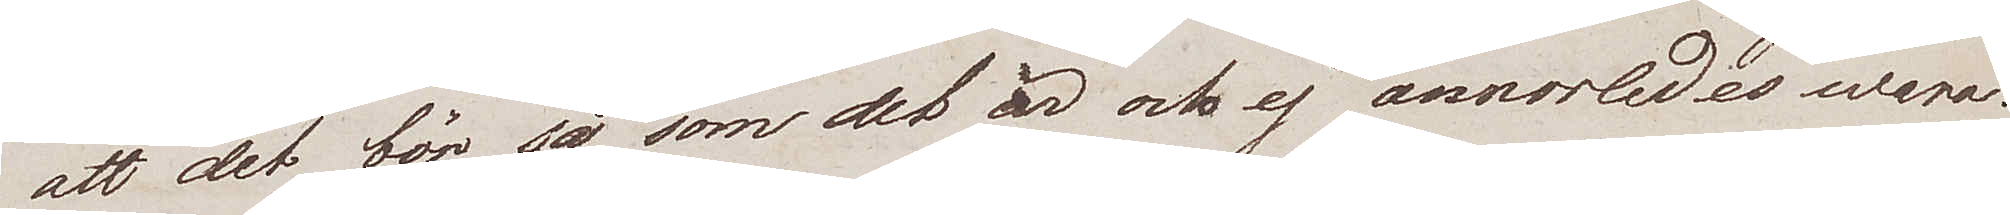att det bör så som det är och ej annorledes wara.
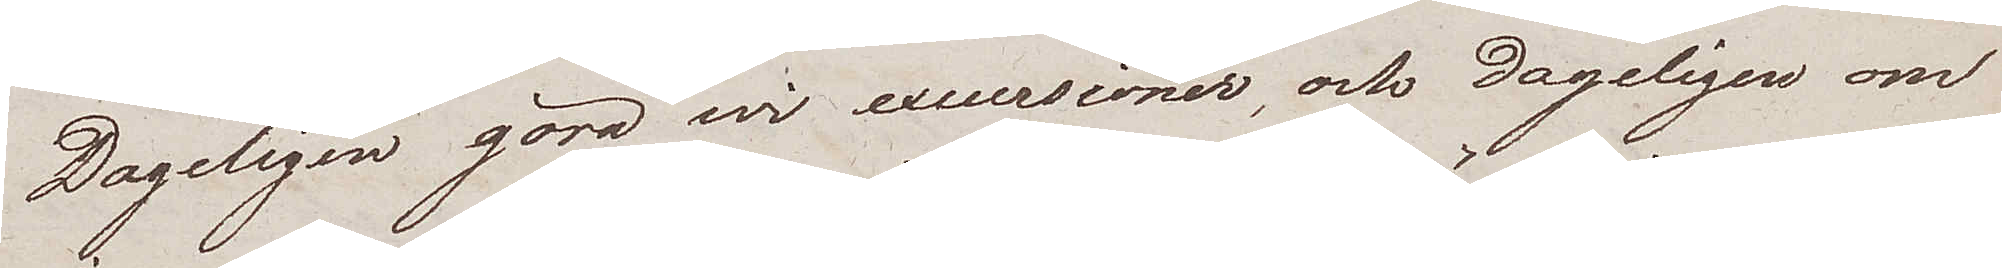Dageligen göra wi excursioner, och dageligen om
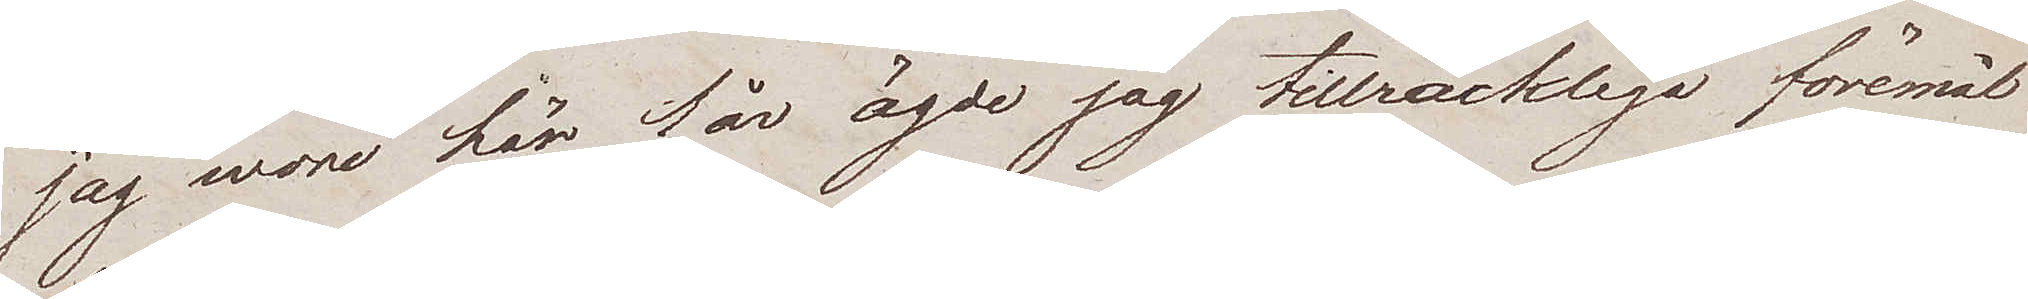jag wore här 1 år ägde jag tillräckliga föremål
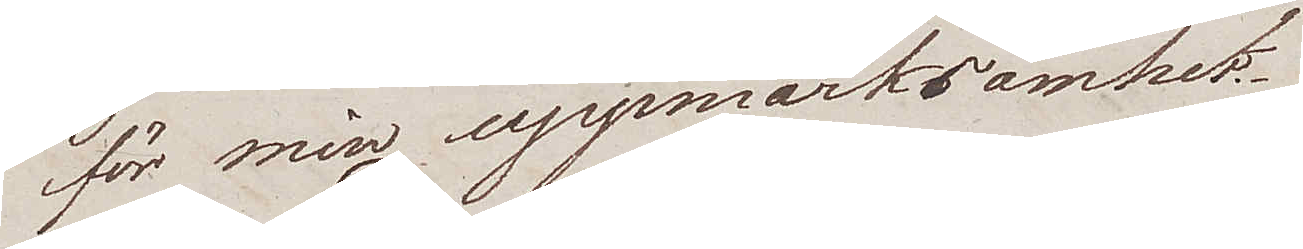för min uppmärksamhet.
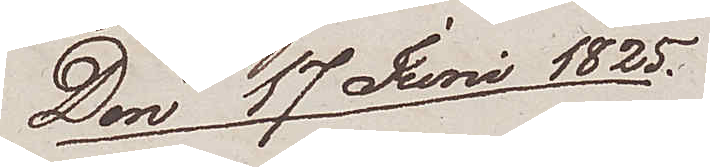Den 17 Juni 1825
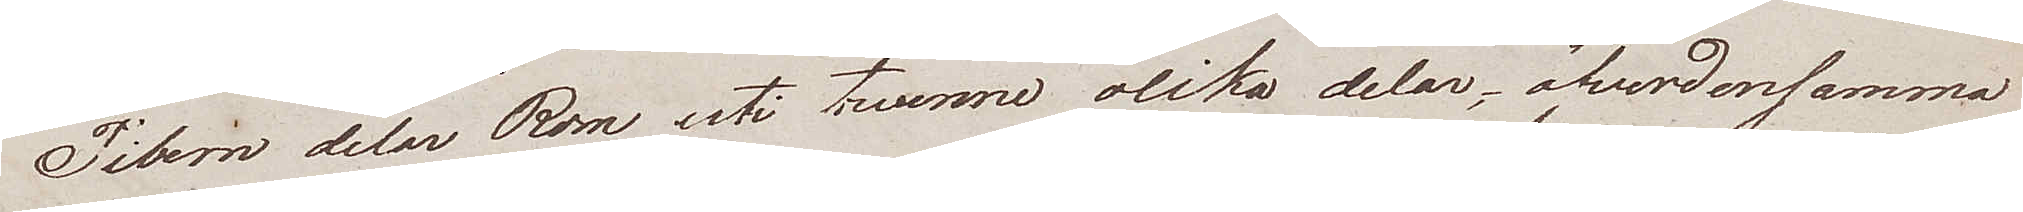Tibern delar Rom uti twenne olika delar, öfverdensamma
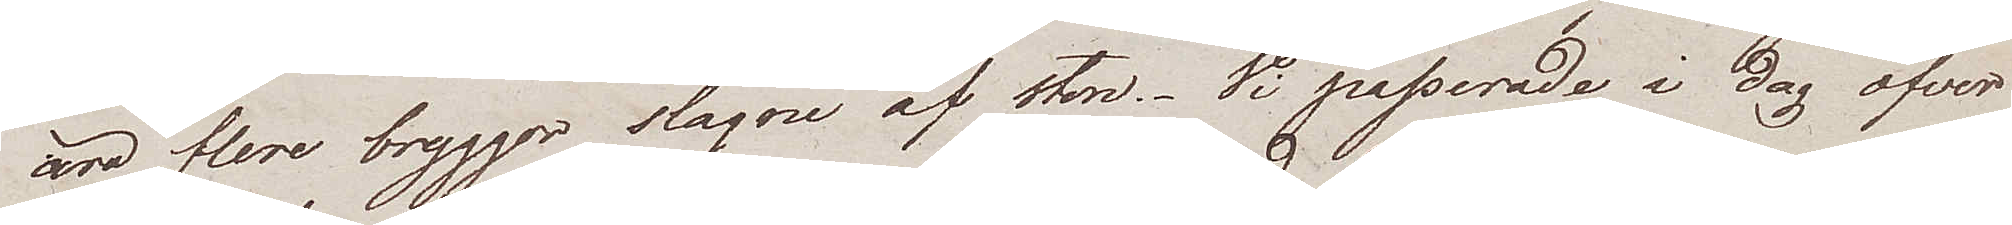äro flere bryggor slagne av sten. Vi passerade i dag öfver
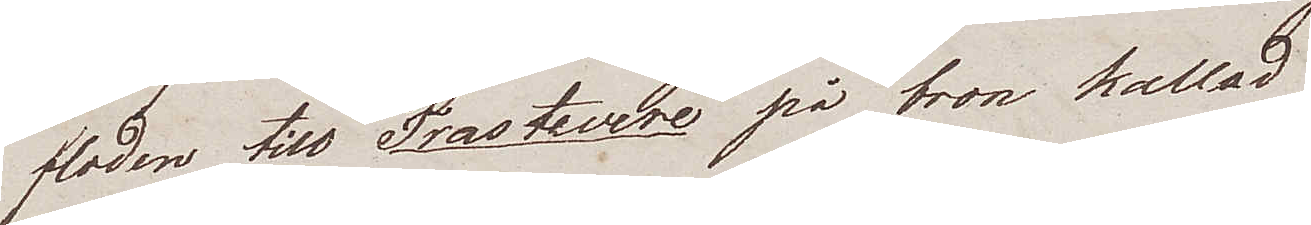floden till Trastevere på bron kallad
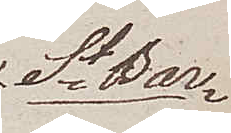St Bar¬
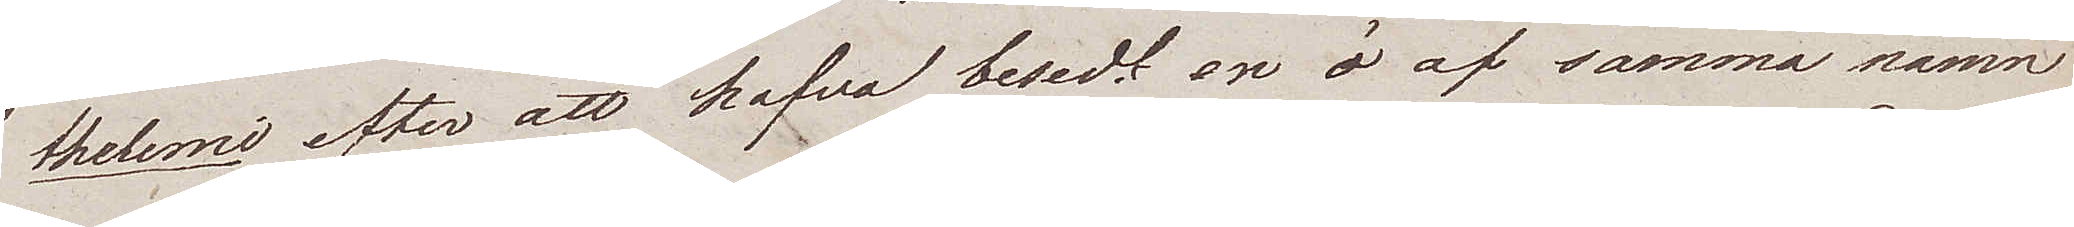thelemi efter att hafva besedt en ö af samma namn
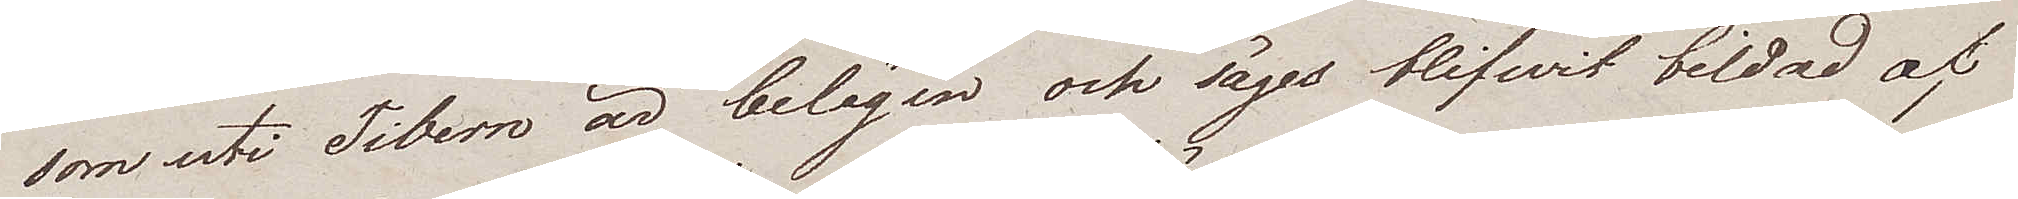som uti Tibern är belägen och säges blifvit bildad af
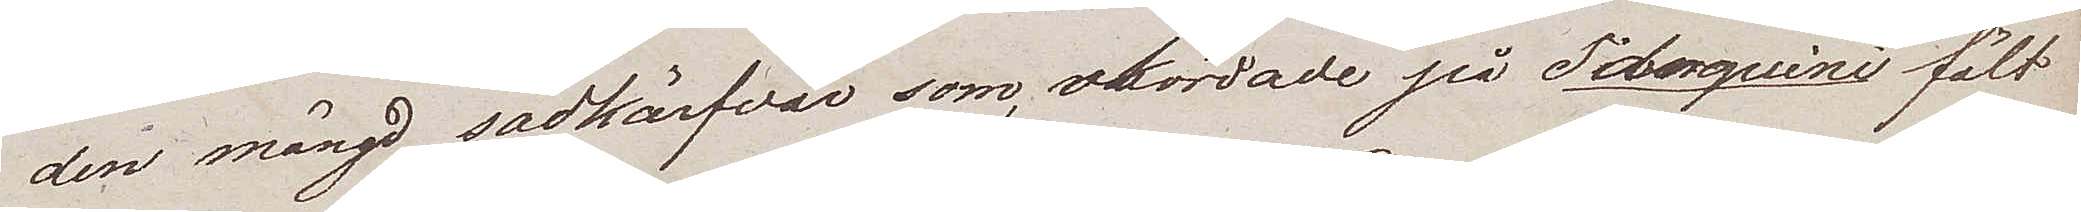den mängd sädkärfvar, som skördade på Taberquini fält
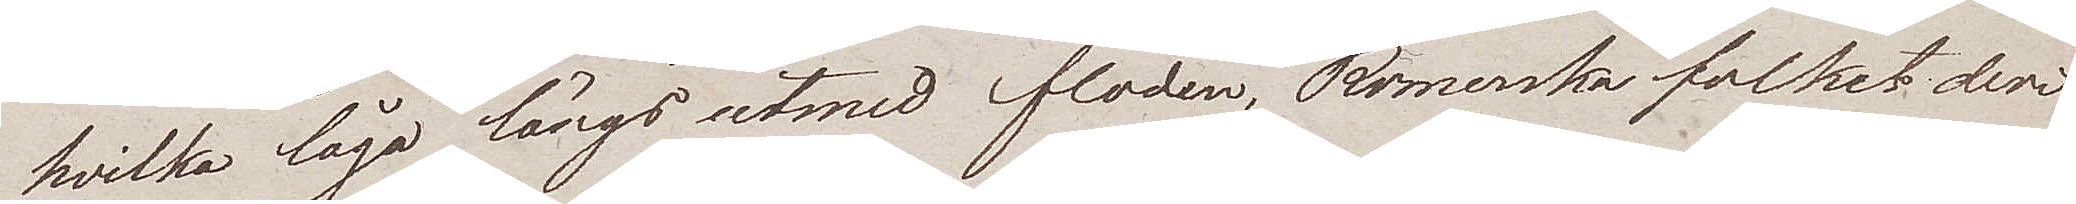hvilka lågo längs utmed floden, Romerska folket deri
